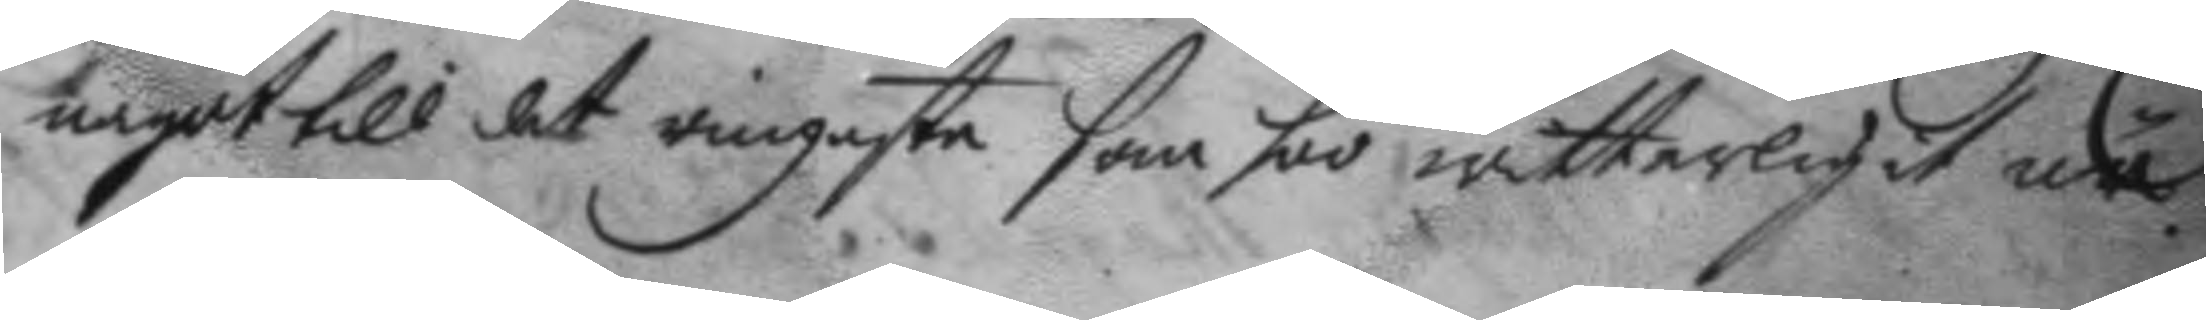något till det ringaste som soo witterligit nu
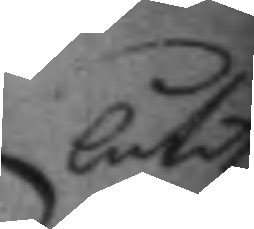låtit
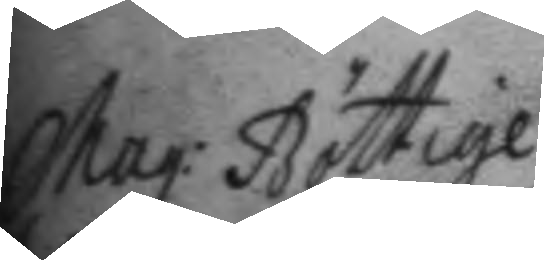Mag: Böttige.
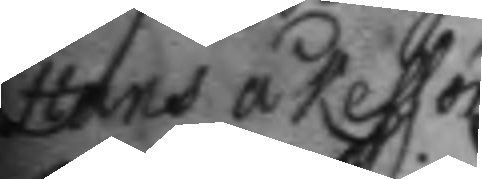Hans åkesson.
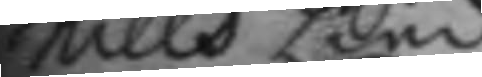Nills Lind.
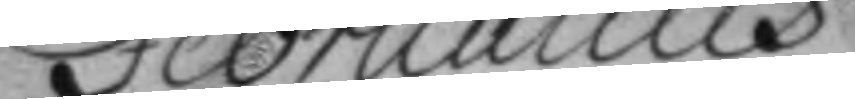Februarius
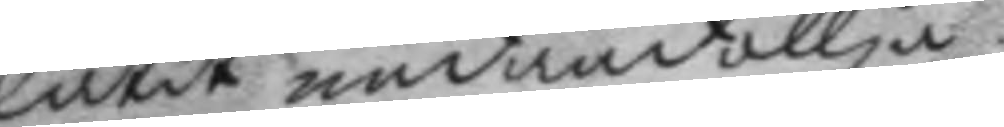låtit undandöllja.
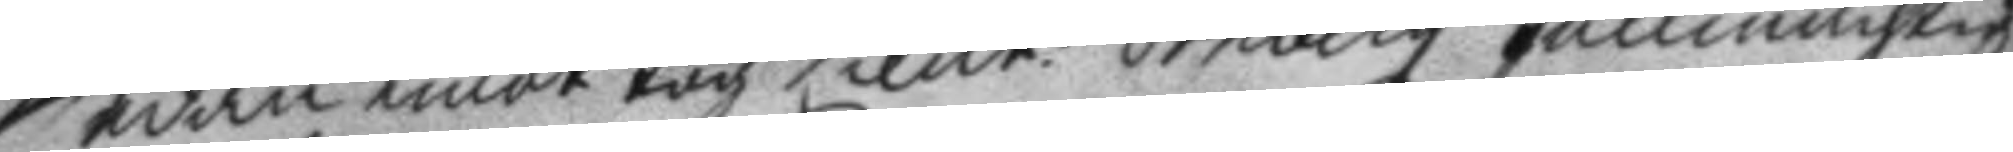Sedan emottog Lieut: örnbergz fullmächtig
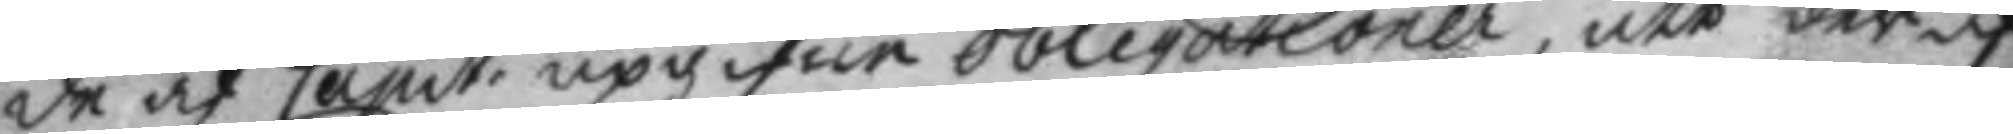de af Capit: upgifne obligationer, att der af
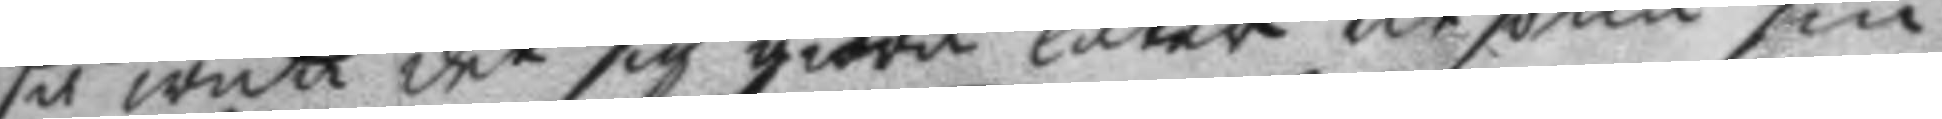så wida det sig giöra låter utsökia sin
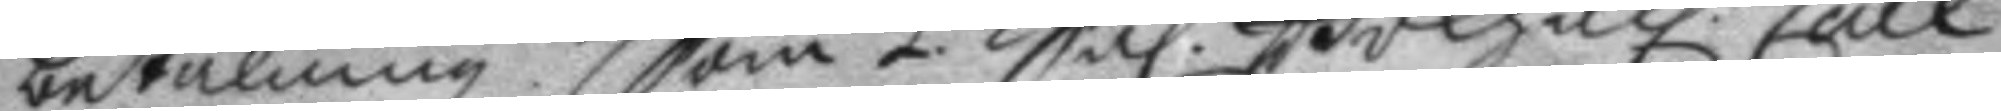betalning Som 1. Sal. Bokhåll. Carl
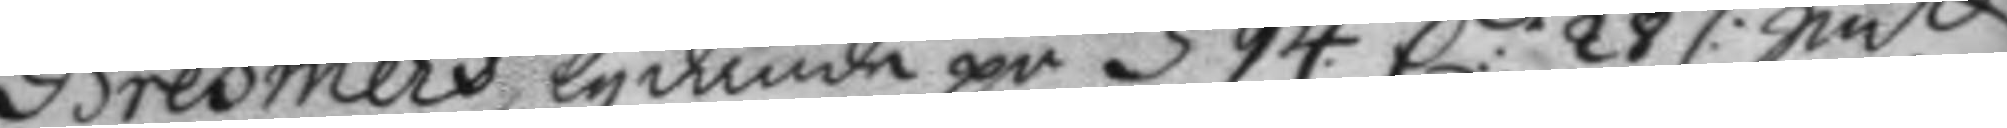Brehmers lydande på 594. C: 28 /: Smt
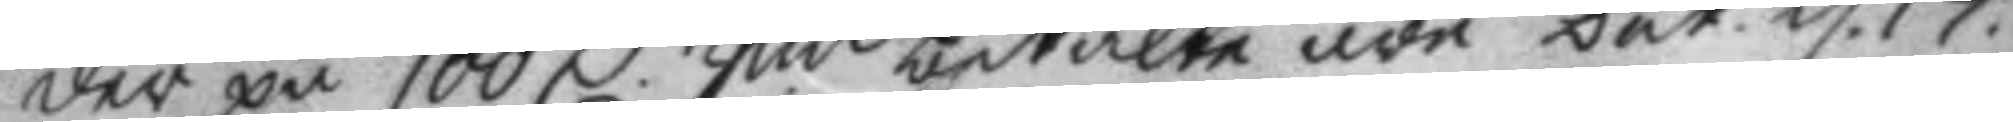der på 100 C. Smt betalte äro Dat. d. 17.
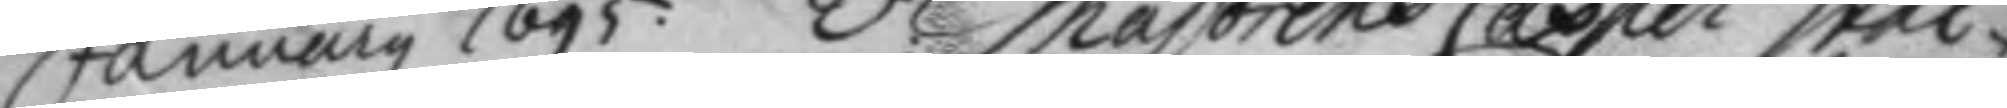January 1695. 2. Majorens Casper Stål¬
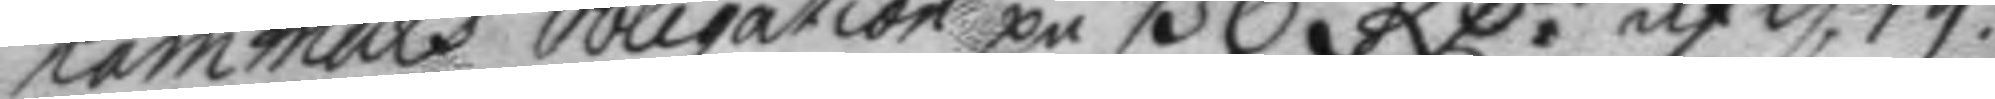hammars obligation på 136 RC: af d. 19.
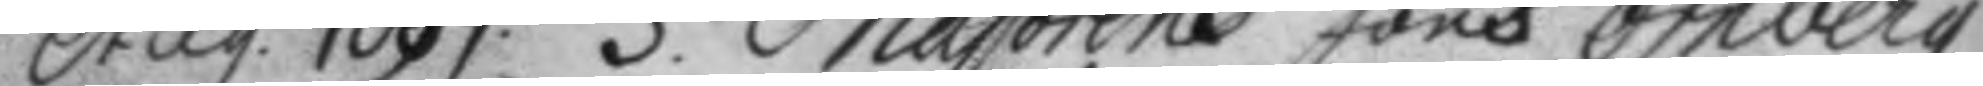Aug. 1699. 3. Majorens Jöns örnebrgz
